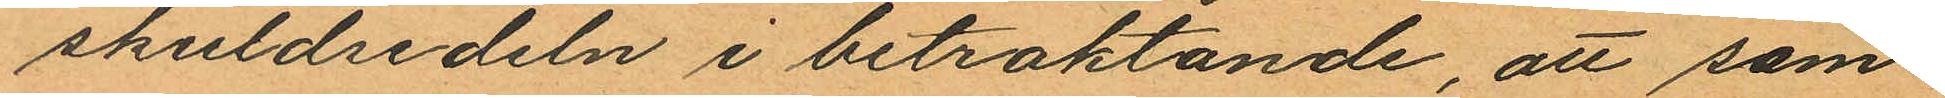skuldsedeln i betraktande, att sam¬
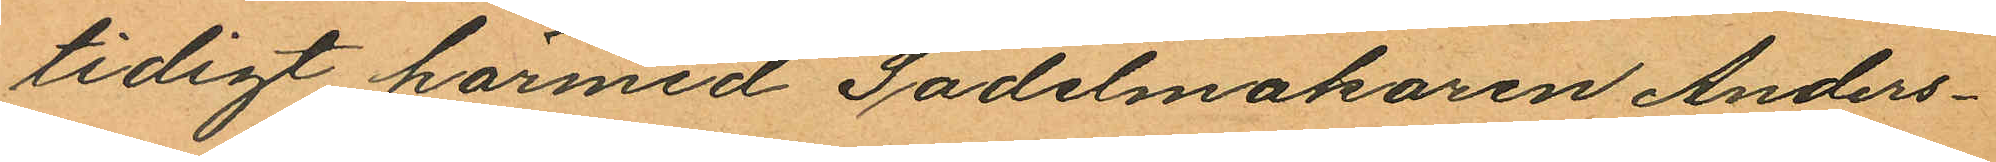tidigt härmed Sadelmakaren Anders¬
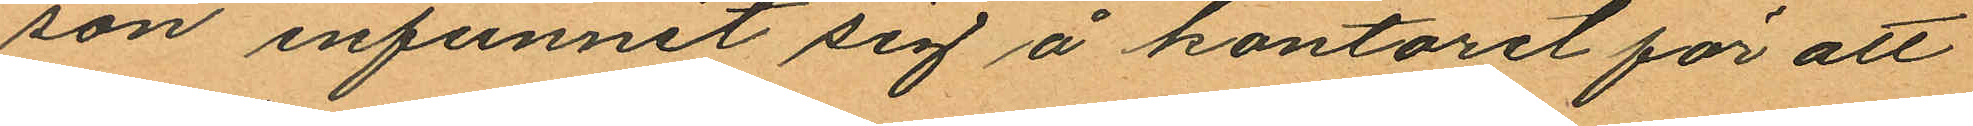son infunnit sig å kontoret för att
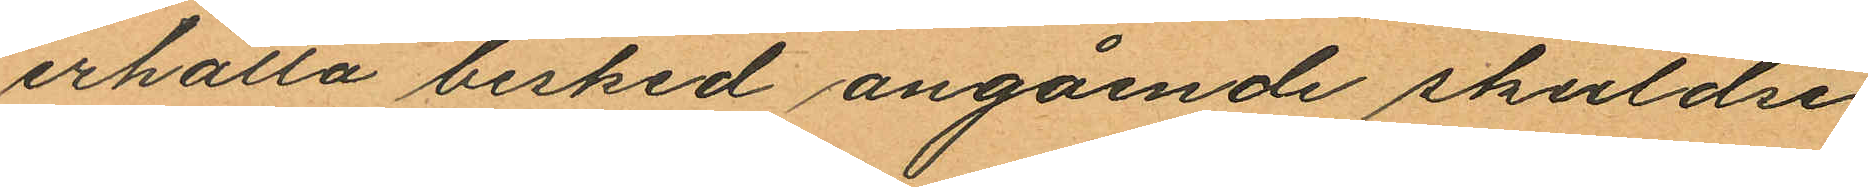erhålla besked angående skuldse¬
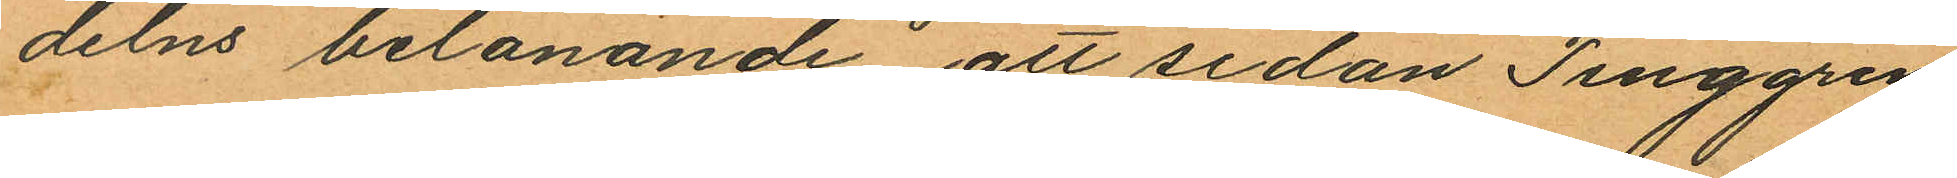delns belånande, att sedan Tinggren
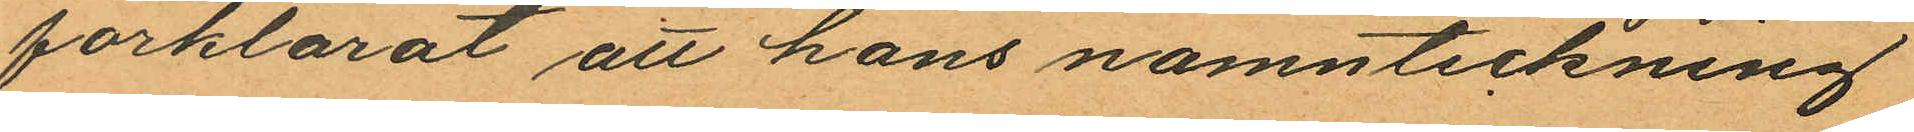förklarat att hans namnteckning
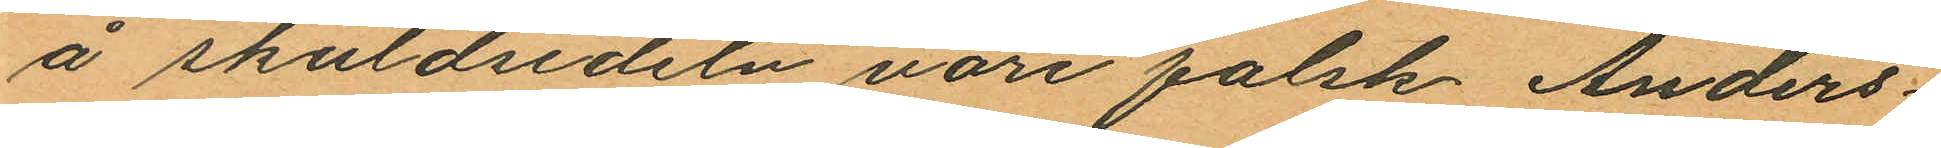å skuldsedeln vore falsk, Anders¬
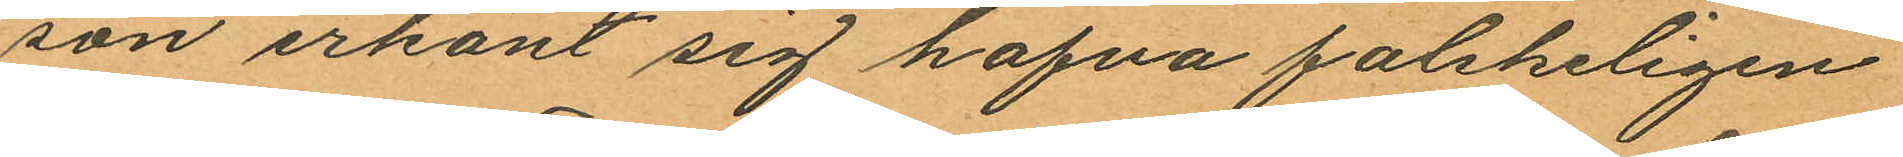son erkänt sig hafva falskeligen
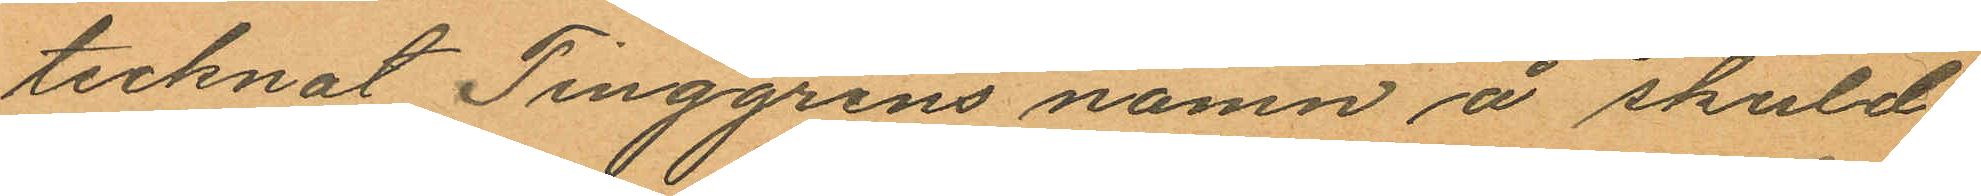tecknat Tinggrens namn å skuld
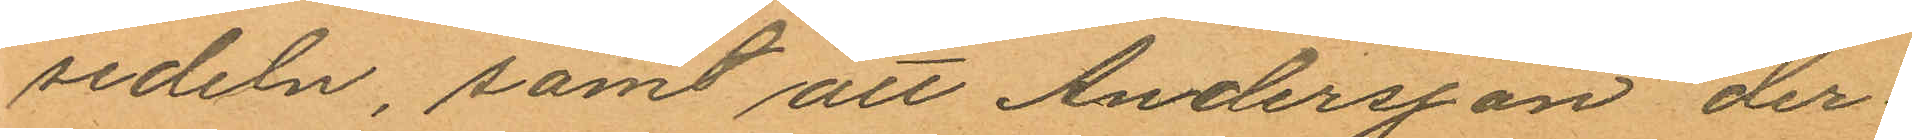sedeln, samt att Andersson der¬
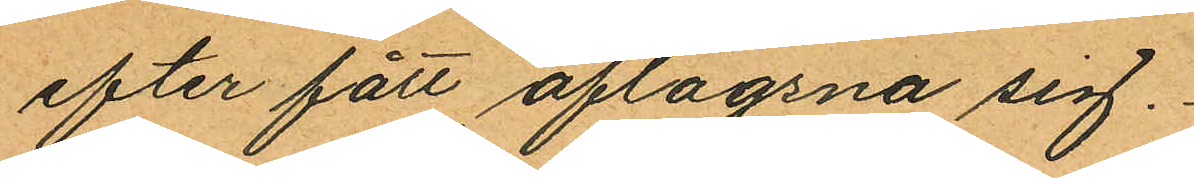efter fått aflägsna sig.
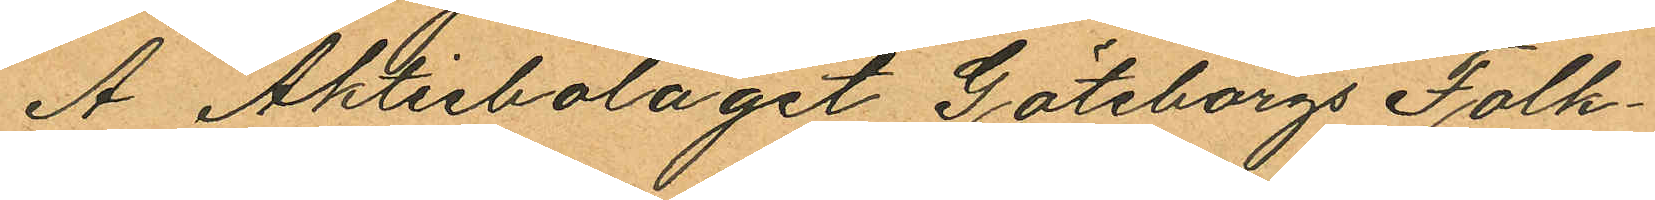Å Aktiebolaget Göteborgs Folk¬
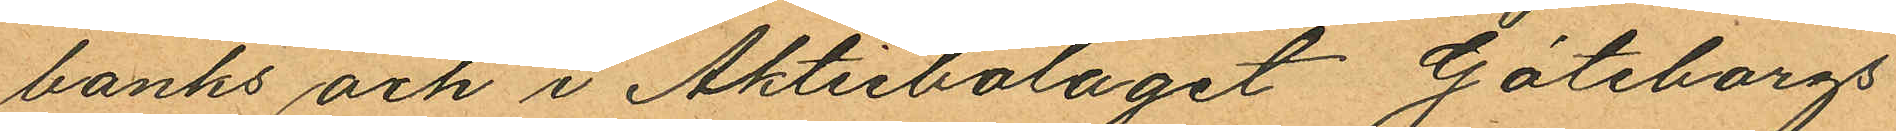banks och i Aktiebolaget Göteborgs
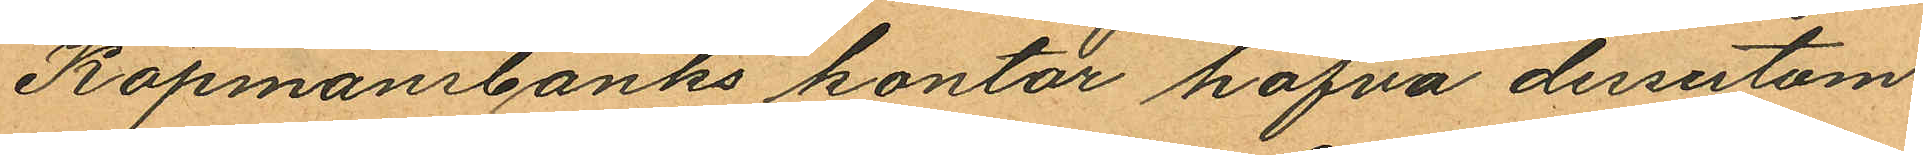Köpmanbanks kontor hafva dessutom
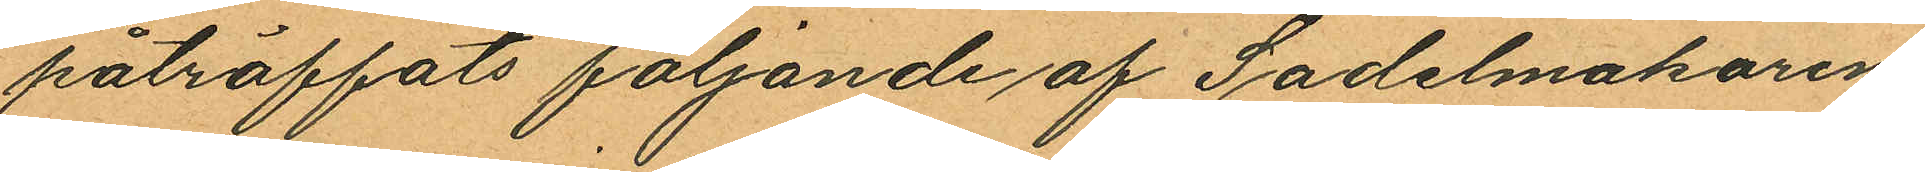påträffats följande af Sadelmakaren
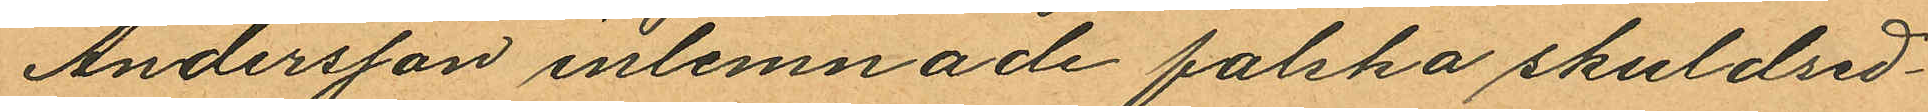Andersson inlemnade falska skuldsed¬
